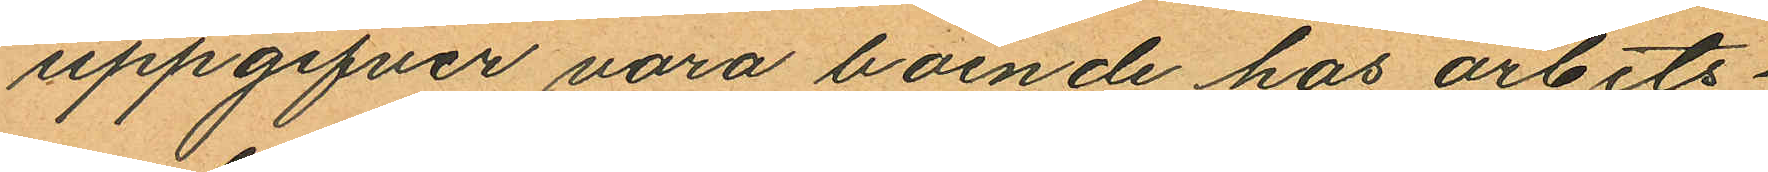uppgifver vara boende hos arbets¬
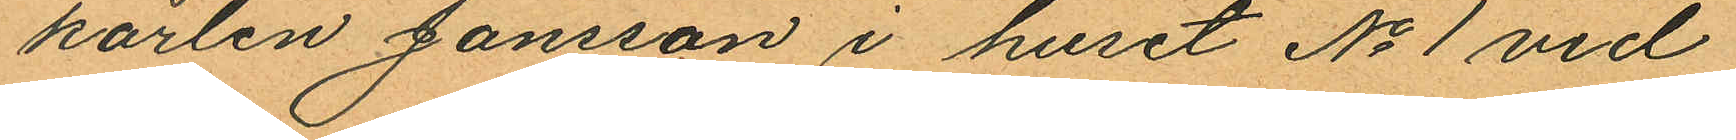karlen Jönsson i huset No 1 vid
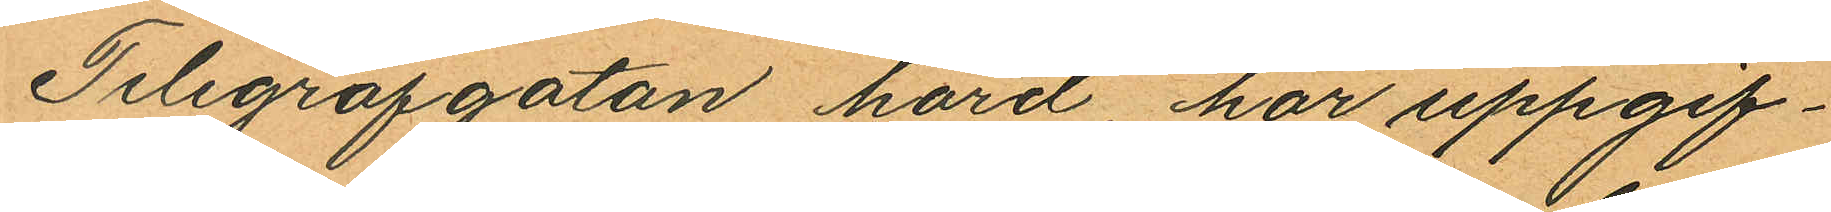Telegrafgatan, hörd, har uppgif¬
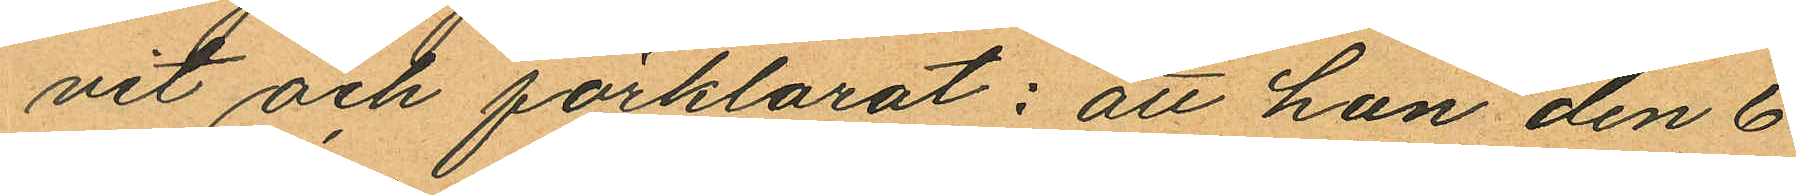vit och förklarat: att han den 6
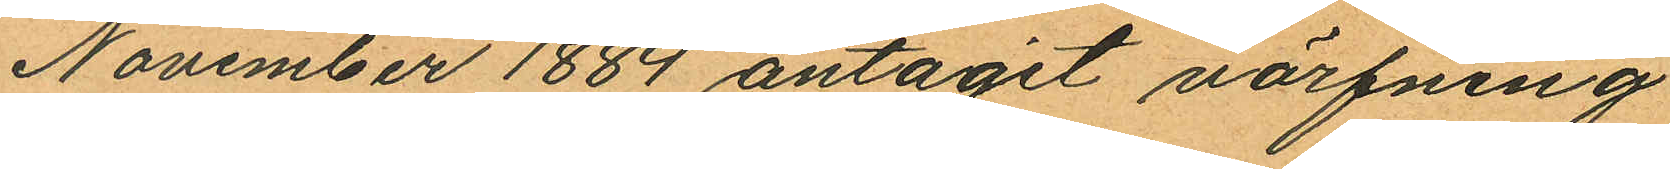November 1884 antagit värfning
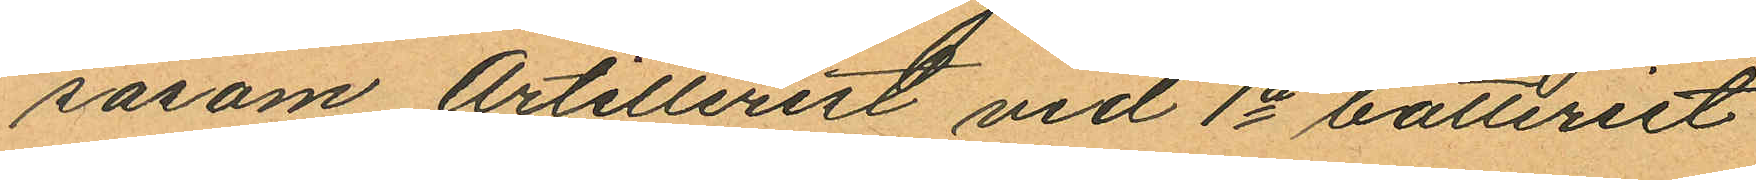såsom Artillerist vid 1a batteriet
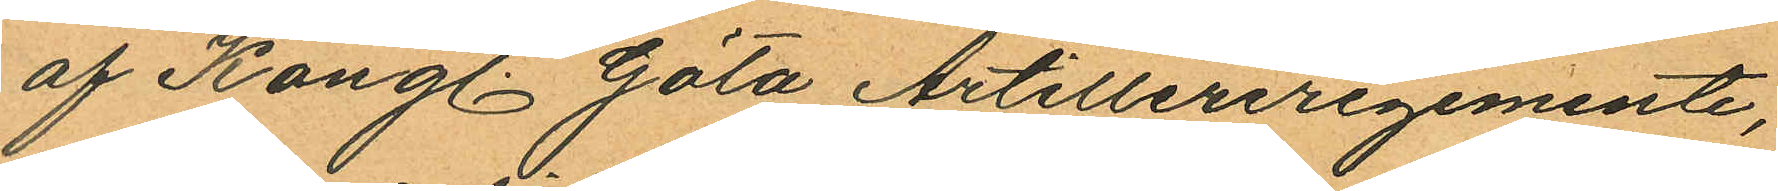af Kongl. Göta Artilleriregemente,
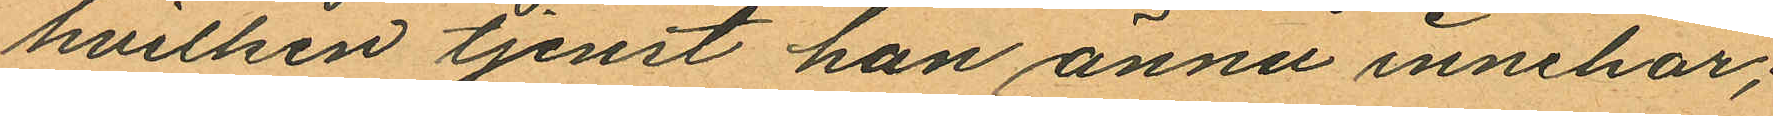hvilken tjenst han ännu innehar;
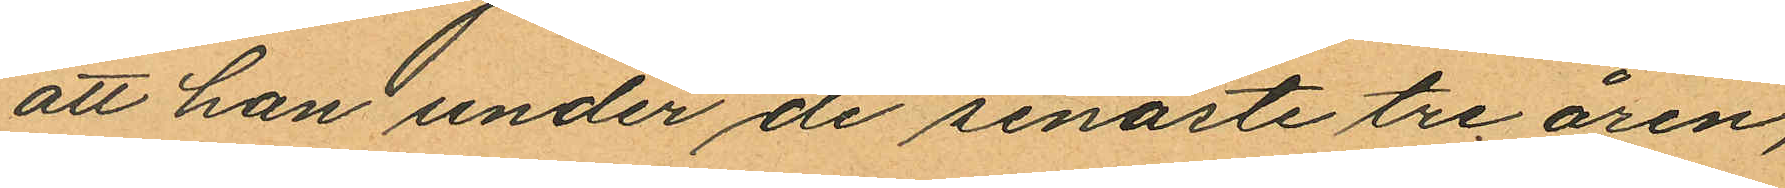att han under de senaste tre åren,
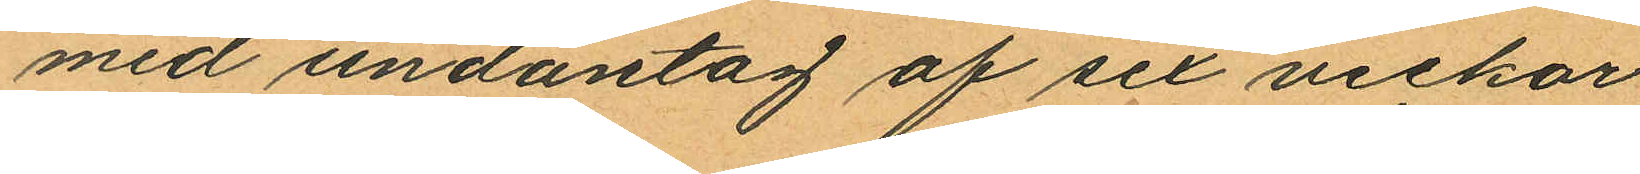med undantag af sex veckor
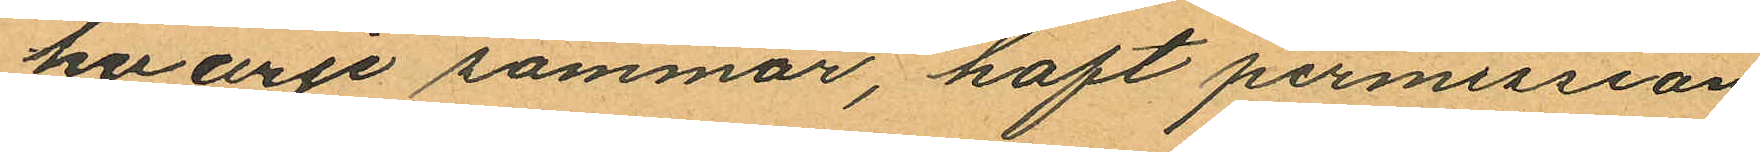hvarje sommar, haft permission
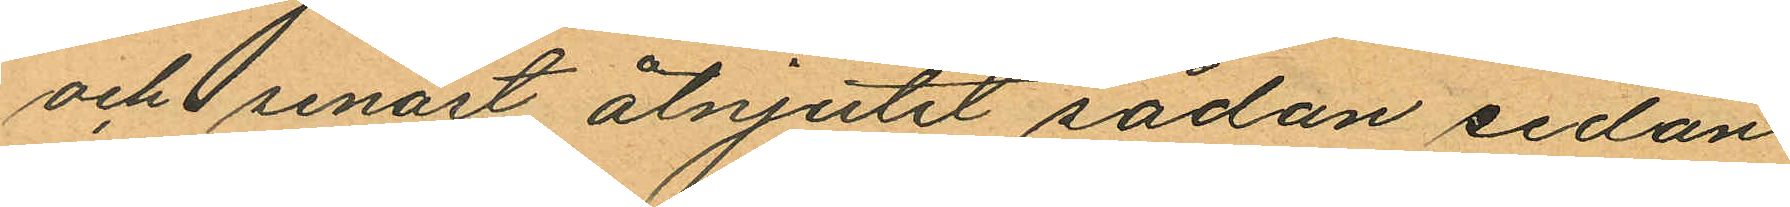och senast åtnjutit sådan sedan
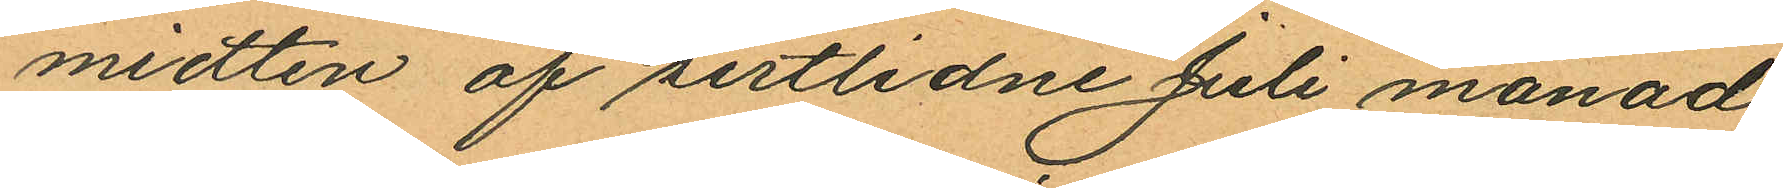midten af sistlidne Juli månad;
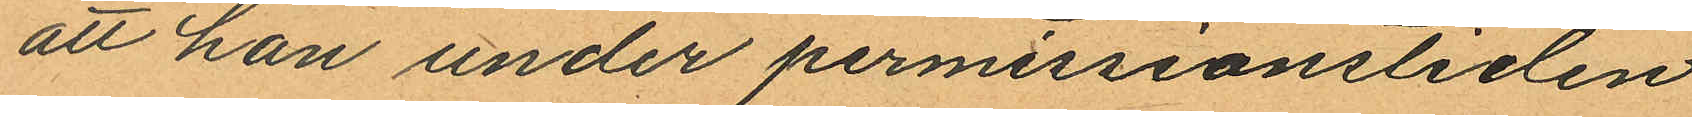att han under permissionstiden
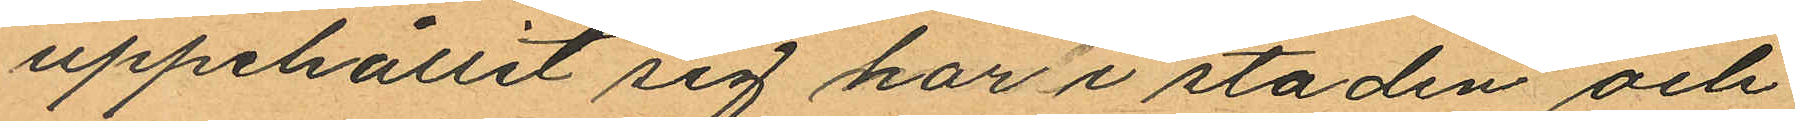uppehållit sig har i staden och
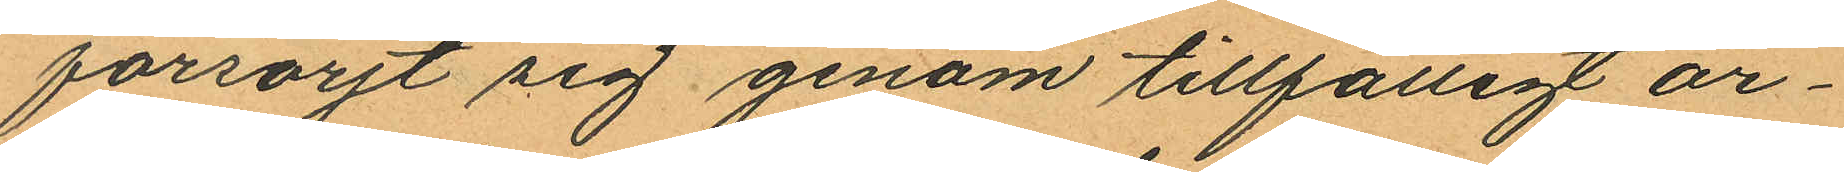försörjt sig genom tillfälligt ar¬
